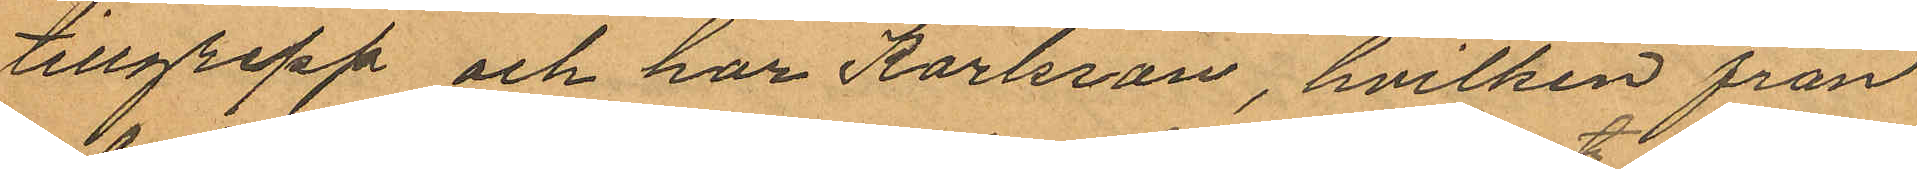tillgrepp och har Karlsson, hvilken från
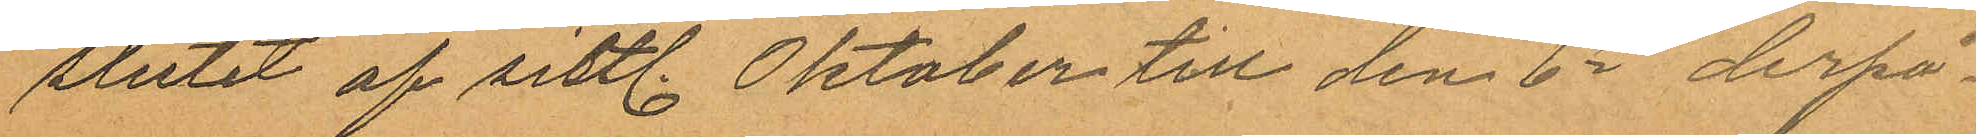slutit af sistl. Oktober till den 6te derpå¬
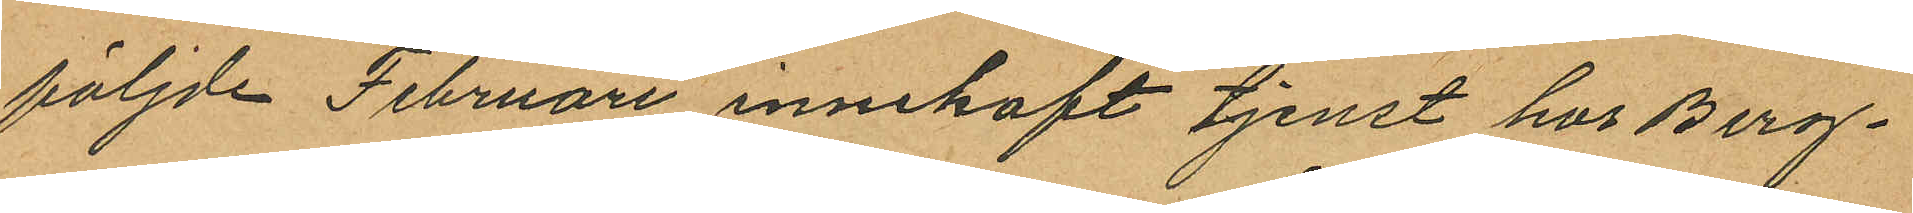följde Februari innehaft tjenst hos Berg¬
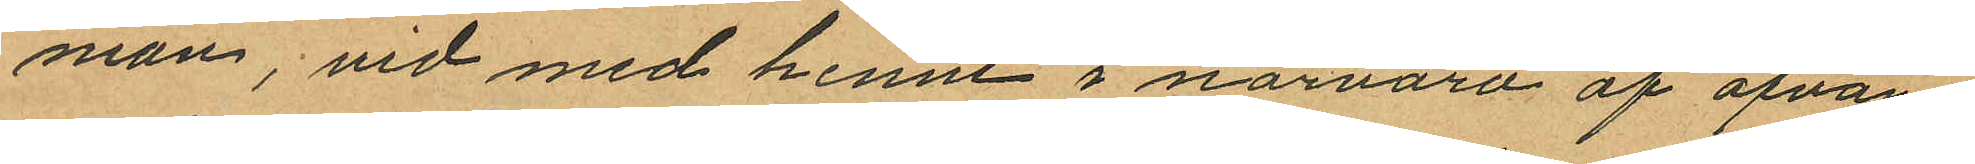man, vid med henne i närvaro af ofvan¬
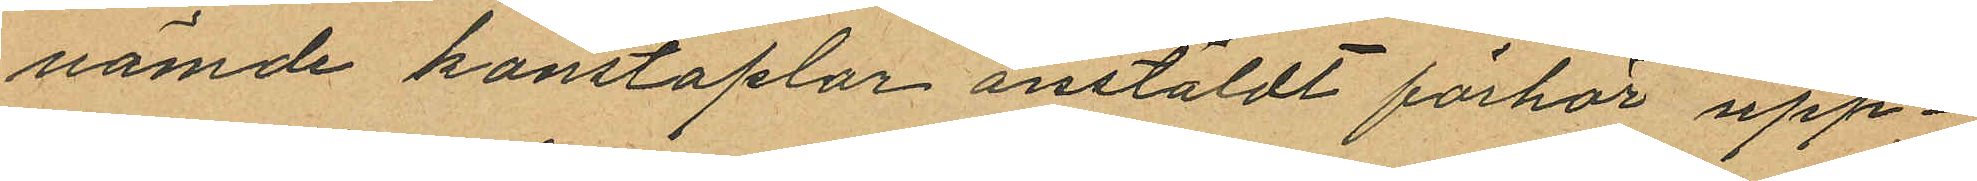nämde konstaplar anstäldt förhör upp¬
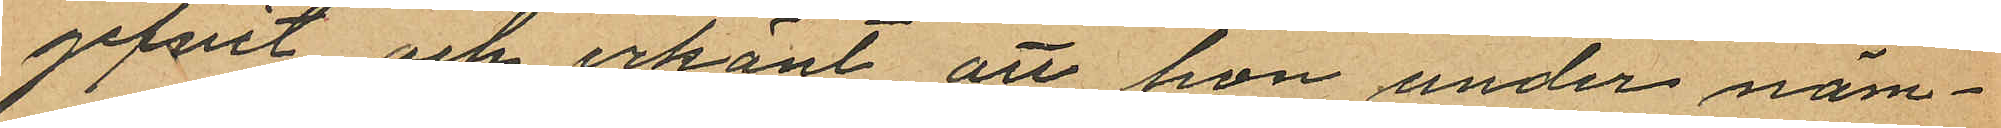gifvit och erkänt, att hon under näm¬
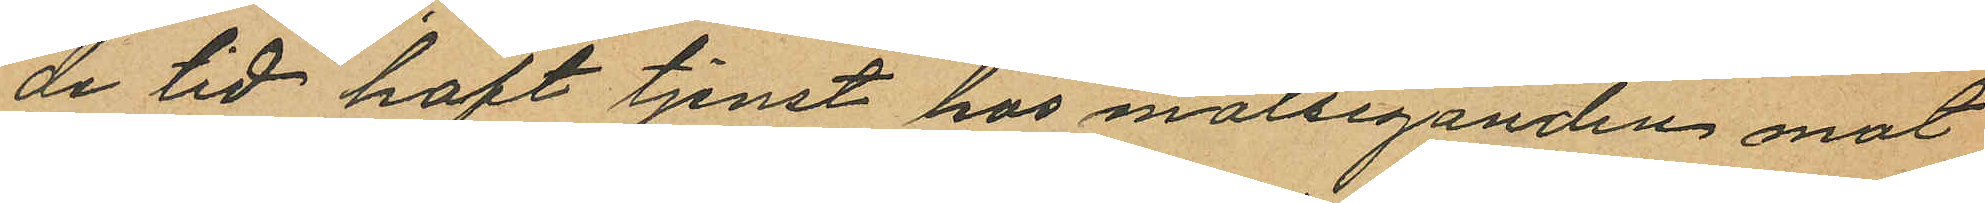de tid haft tjenst hos målseganden mot
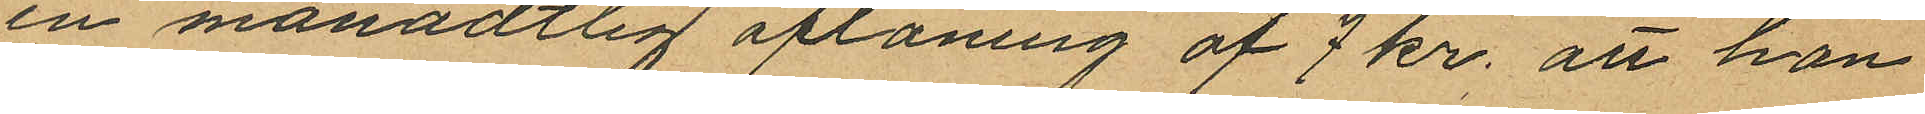en månadtlig aflöning af 7 kr. att hon
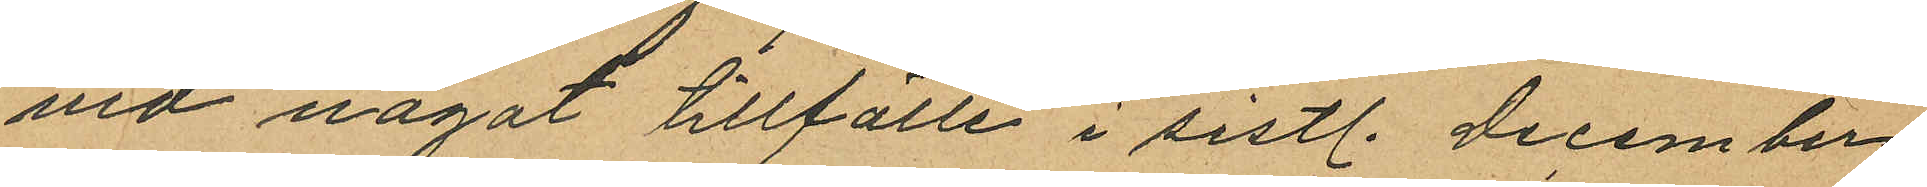vid något tillfälle i sistl. December
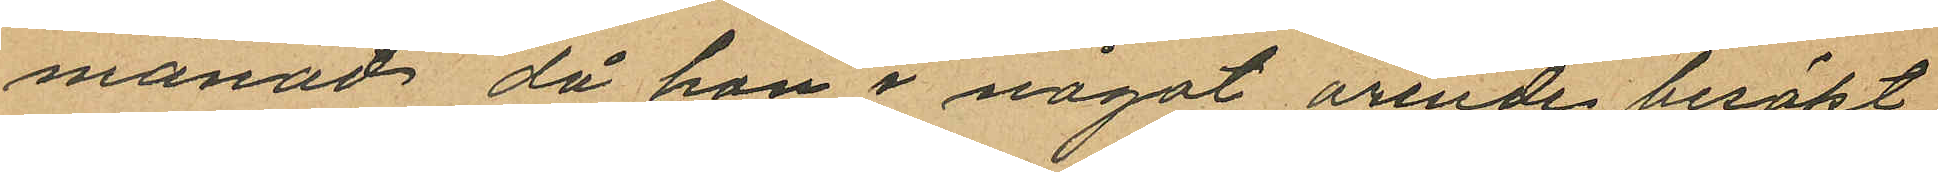månad då hon i något ärende besökt
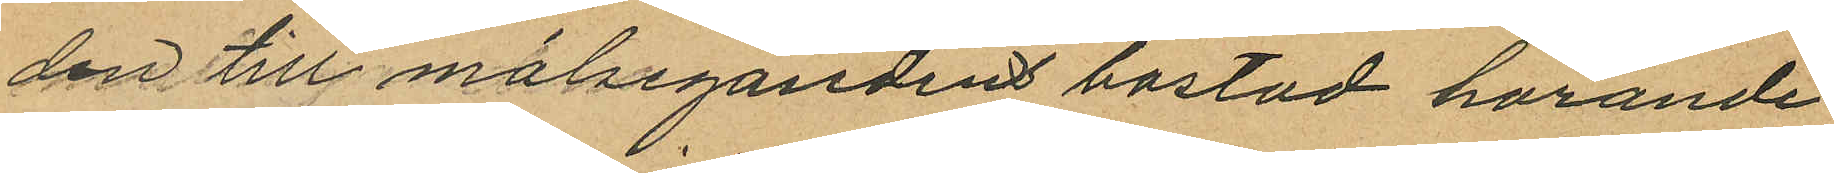den till målsegandens bostad hörande
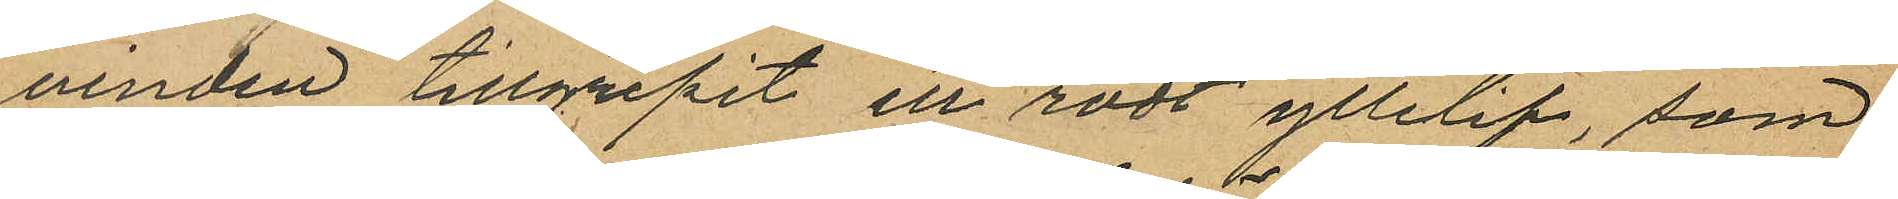vinden tillgripit ett rödt yllelif, som
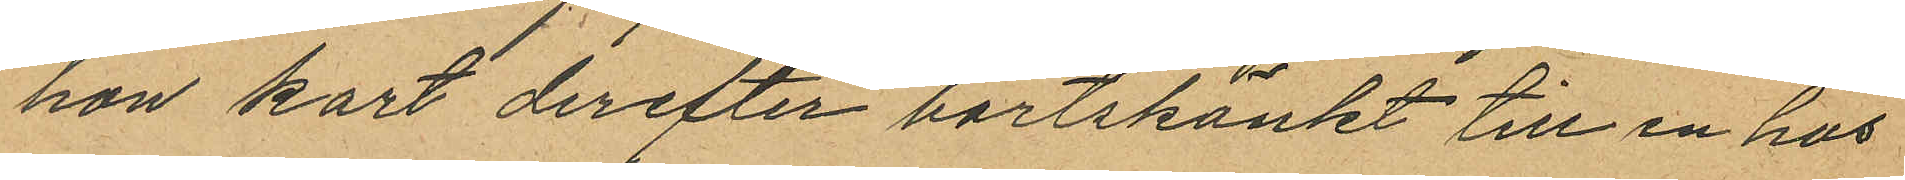hon kort derefter bortskänkt till en hos
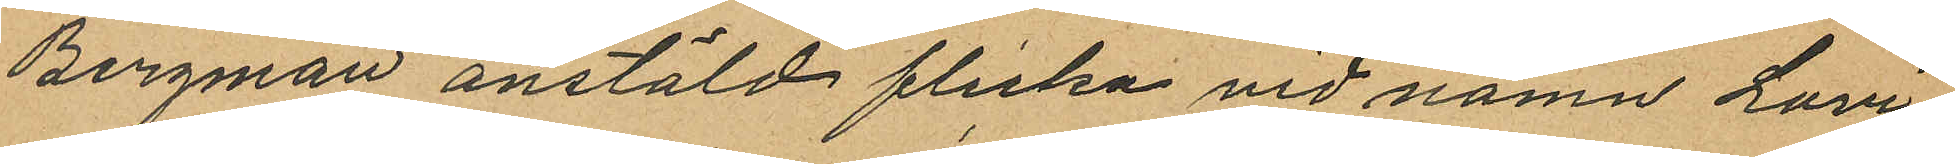Bergman anstäld flicka vid namn Lovi¬
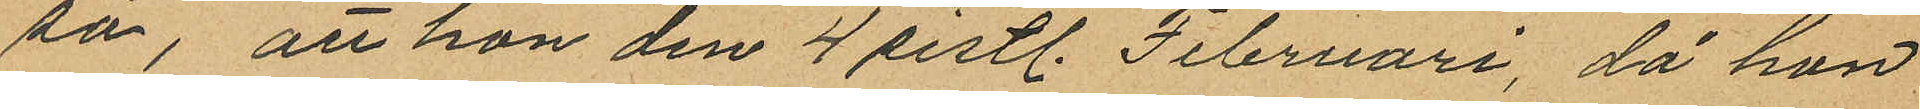sa, att hon den 4 sistl. Februari, då hon
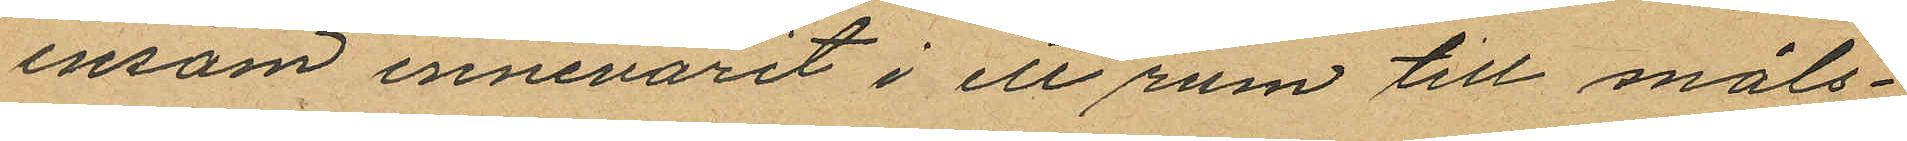ensam innevarit i ett rum till måls¬
